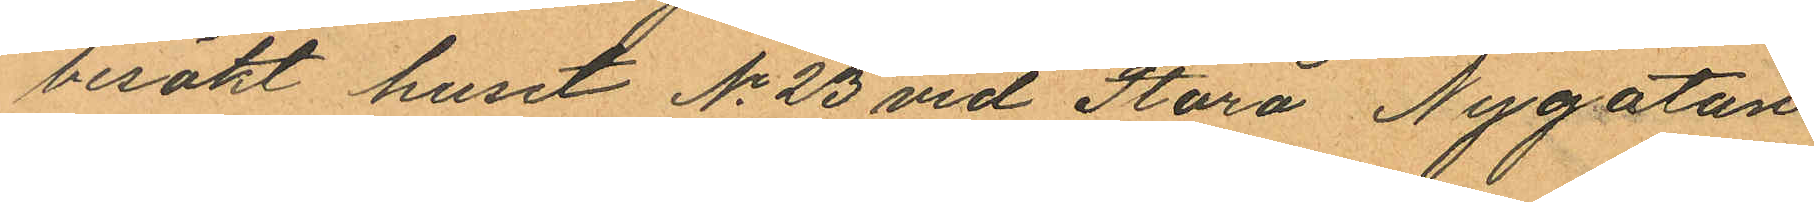besökt huset No 23 vid Stora Nygatan
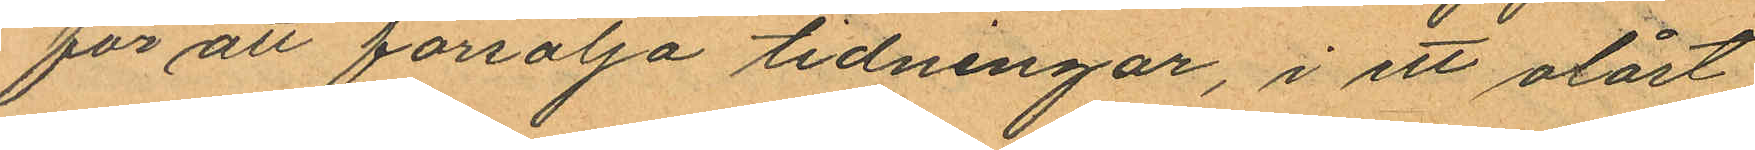för att försälja tidningar, i ett olåst
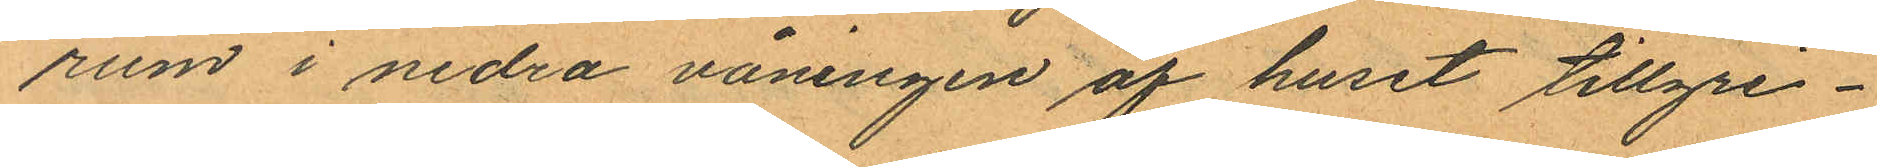rum i nedra våningen af huset tillgri¬
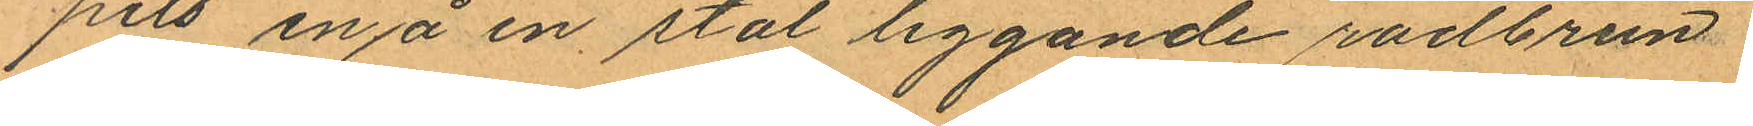pits en å en stol liggande rödbrun
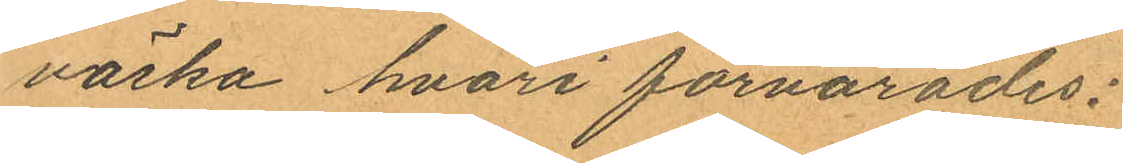väska hvari förvarades:
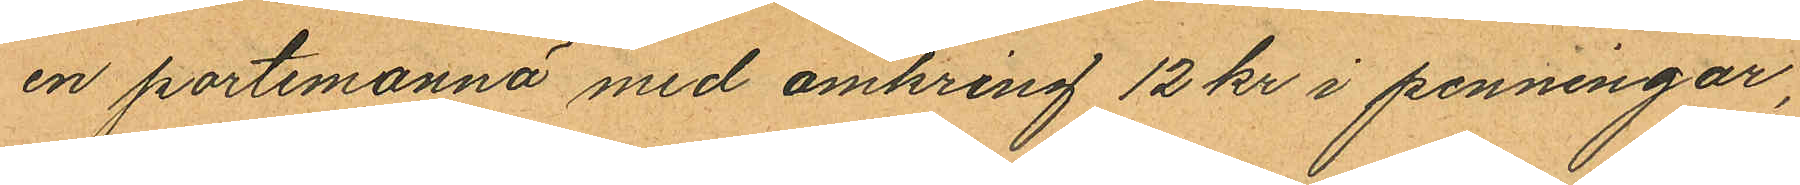en portemonnä med omkring 12 kr i penningar,
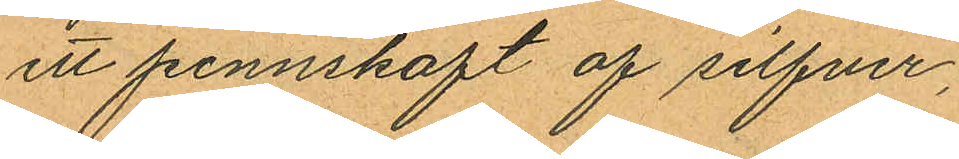ett pennskaft af silfver,
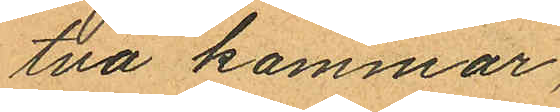två kammar,
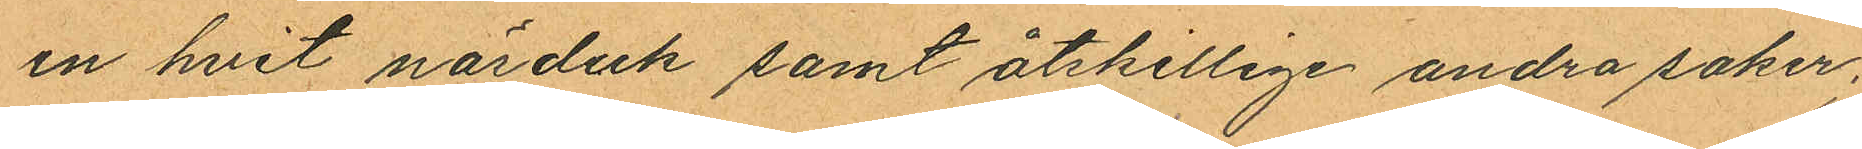en hvit näsduk samt åtskillige andra saker,
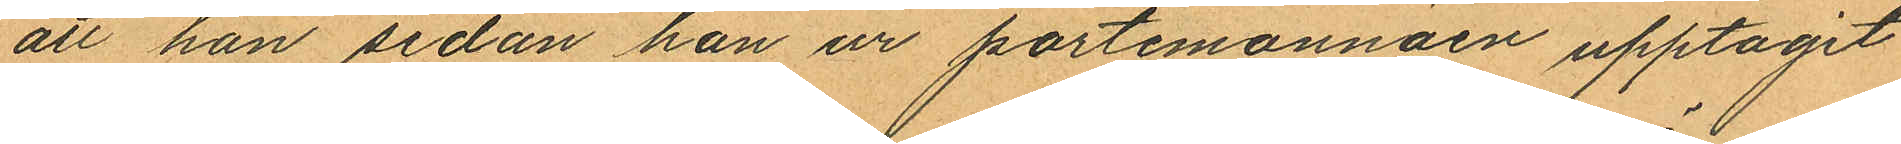att han sedan han ur portemonnäen upptagit
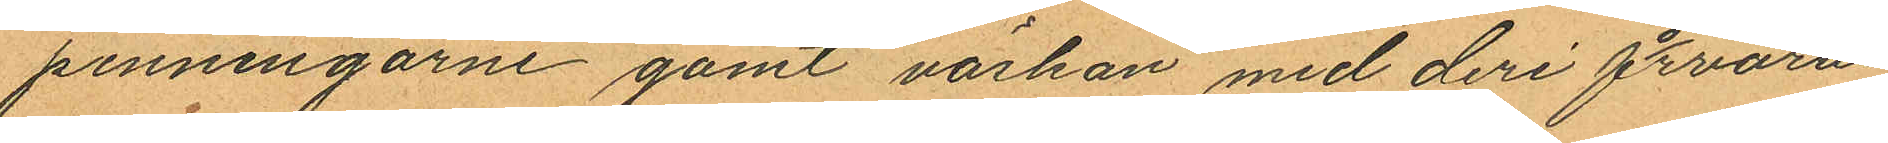penningarne gömt väskan med deri förvara¬
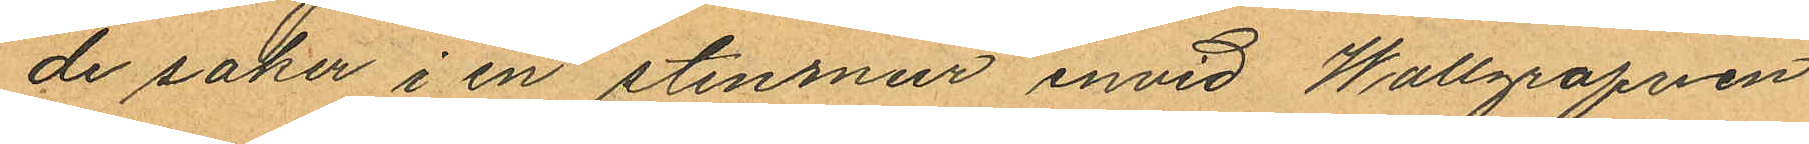de saker i en stenmur invid Wallgrafven
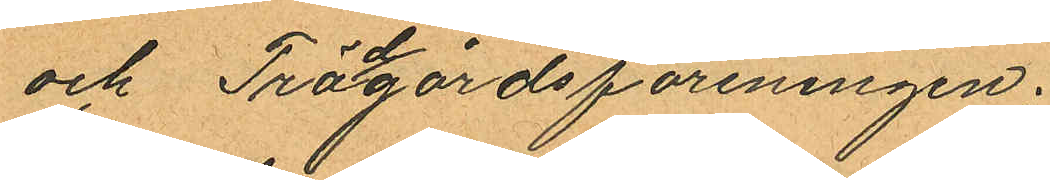och Trågårdsföreningen.
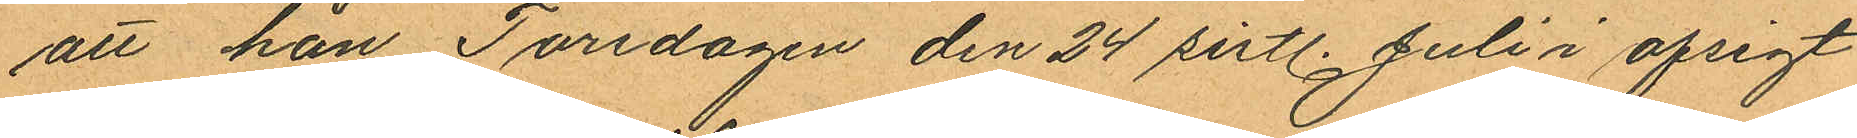att han Torsdagen den 24 sistl. Juli i afsigt
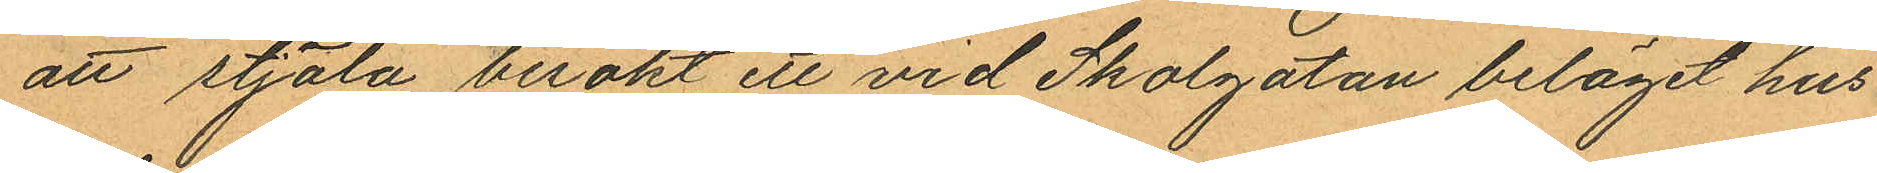att stjäla besökt ett vid Skolgatan beläget hus
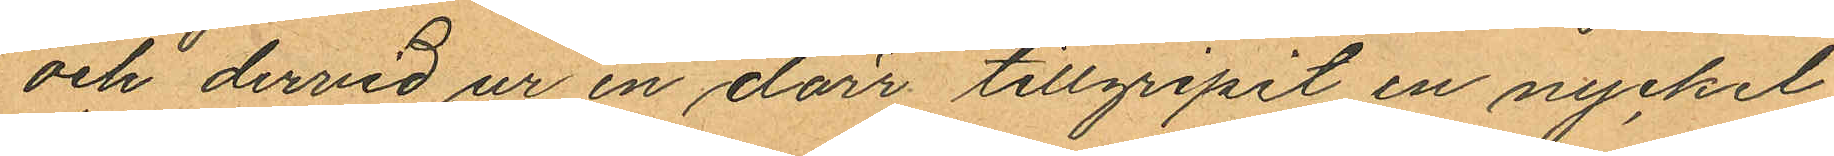och dervid ur en dörr tillgripit en nyckel
